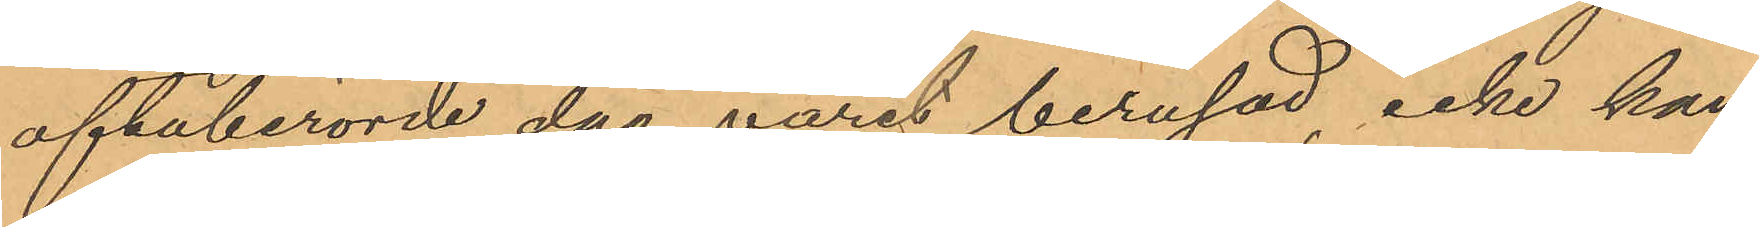oftaberörde dag varit berusad, icke kan
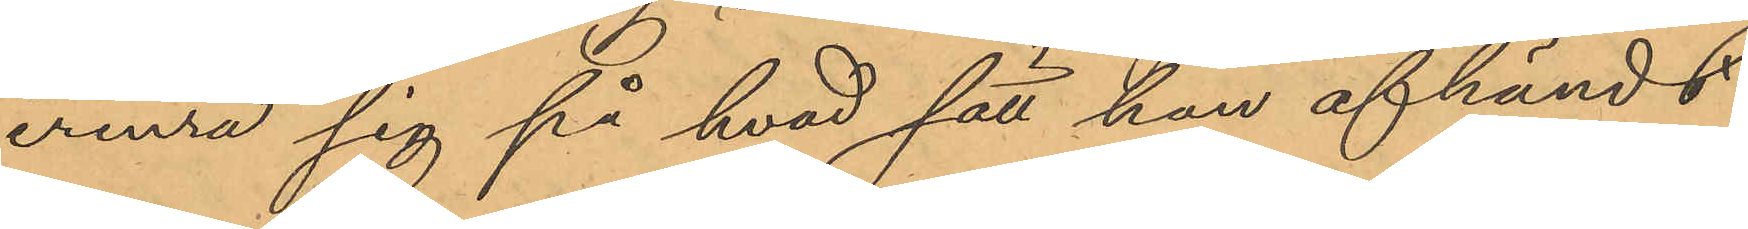erinra sig på hvad sätt han afhändt
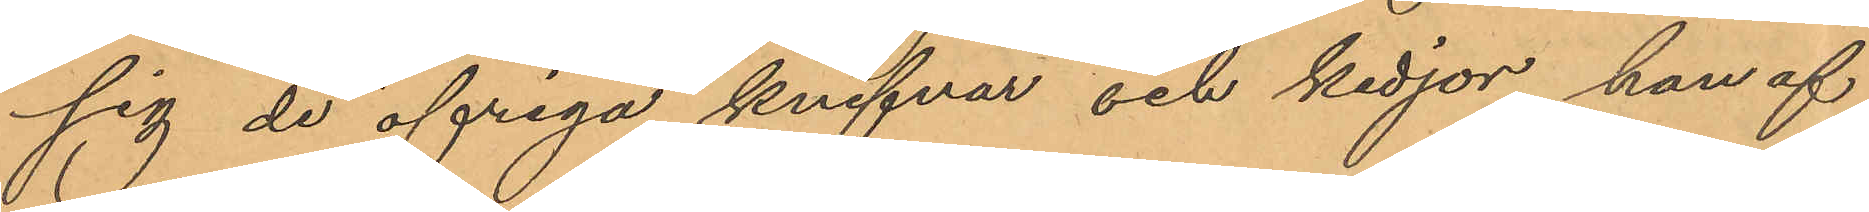sig de öfriga knifvar och kedjor han af
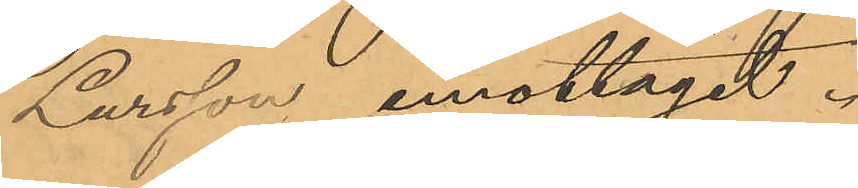Larsson emottagit.
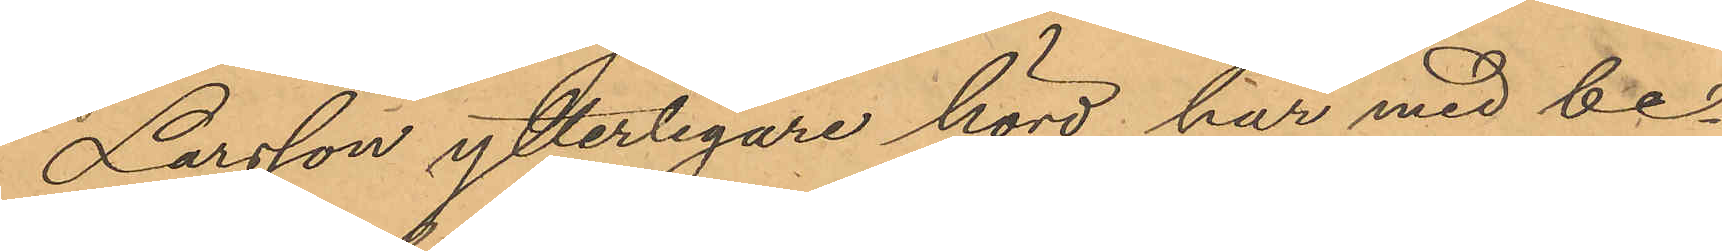Larsson ytterligare hörd har med be¬
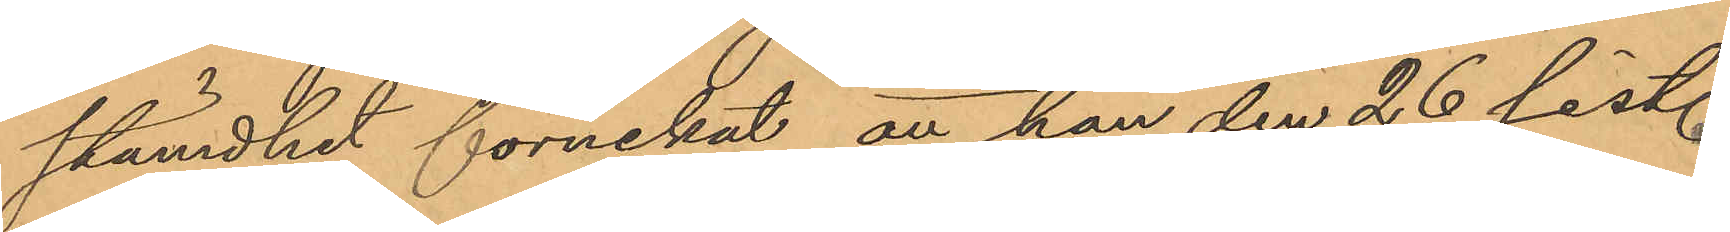stämdhet förnekat, att han den 26 sist.
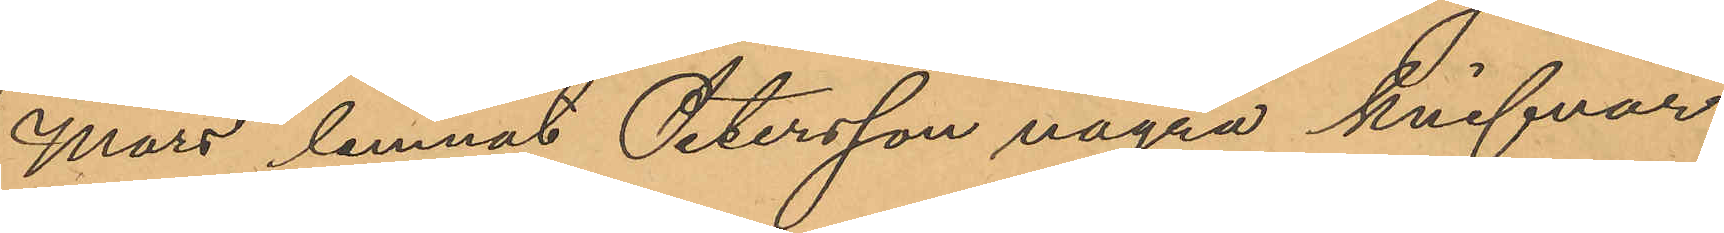Mars lemnat Petersson några knifvar
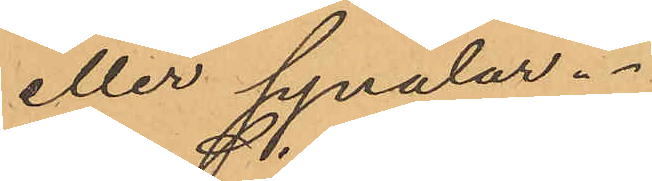eller synålar.
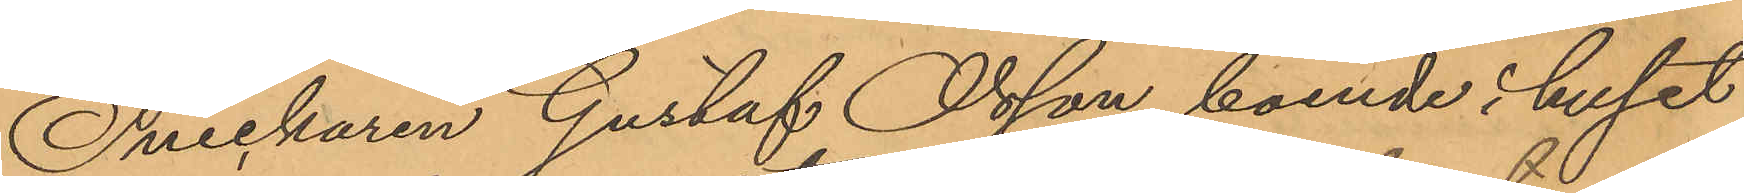Snickaren Gustaf Olsson, boende i huset
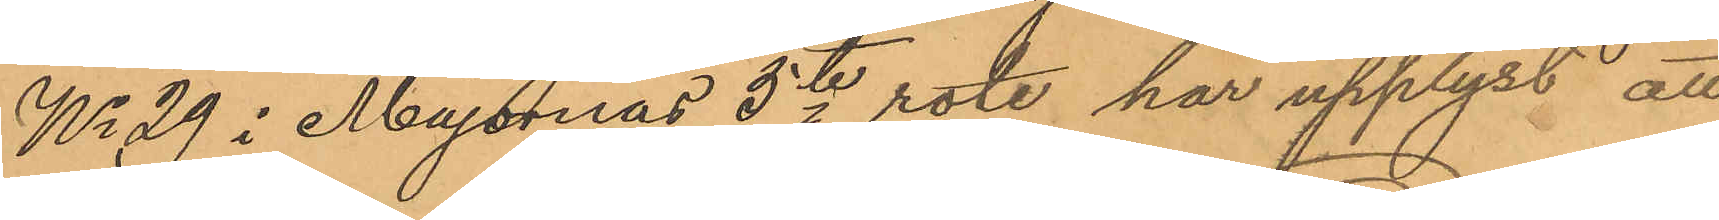No 29 i Majornas 5te rote, har upplyst att
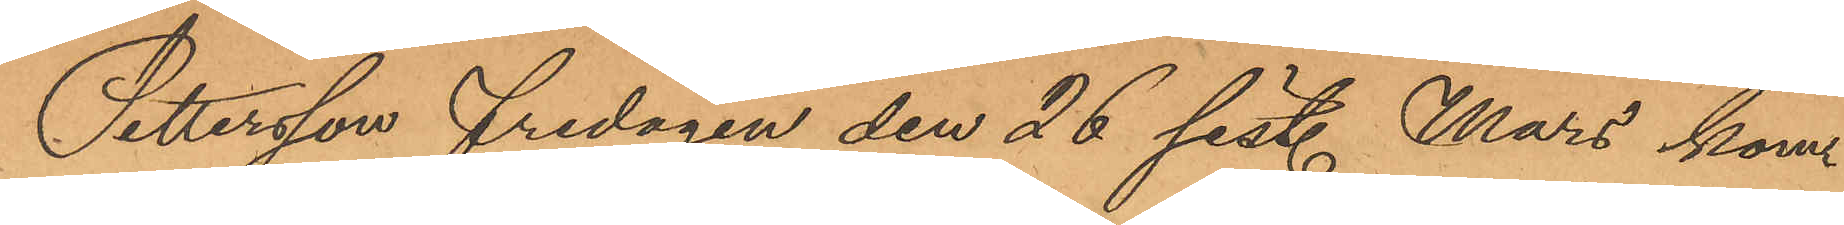Pettersson fredagen den 26 sist. Mars kom¬
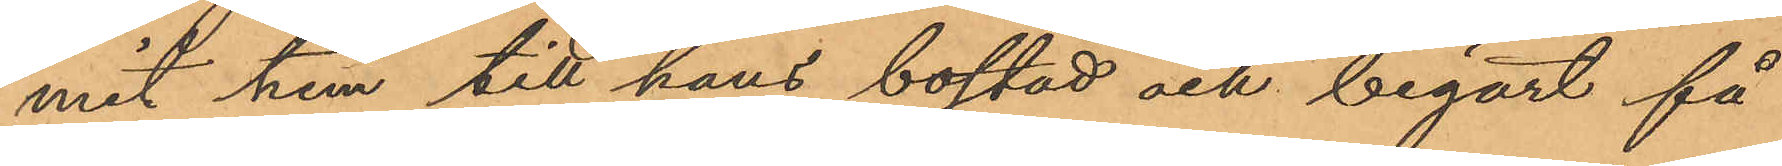mit hem till hans bostad och begärt få
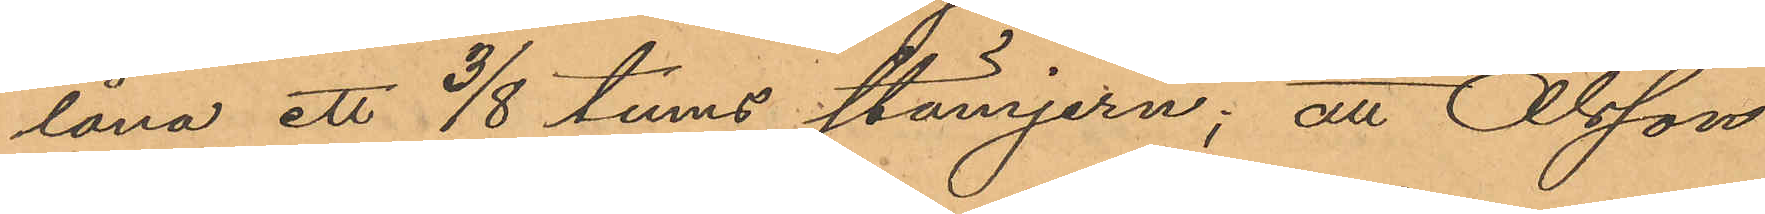låna ett 3/8 tums stämjern; att Olsson
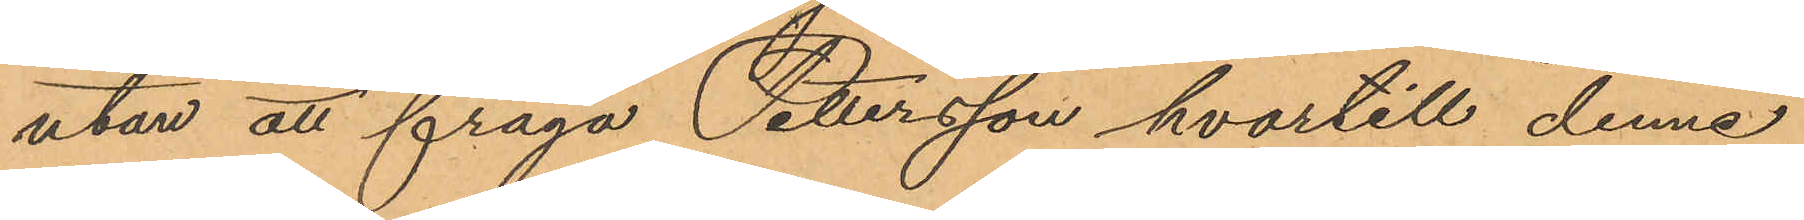utan att fråga Pettersson hvartill denne
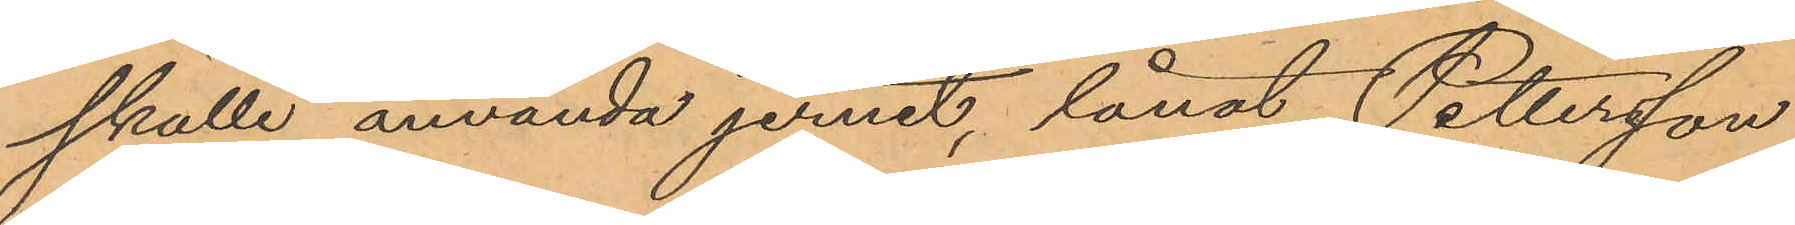skulle använda jernet, lånat Pettersson
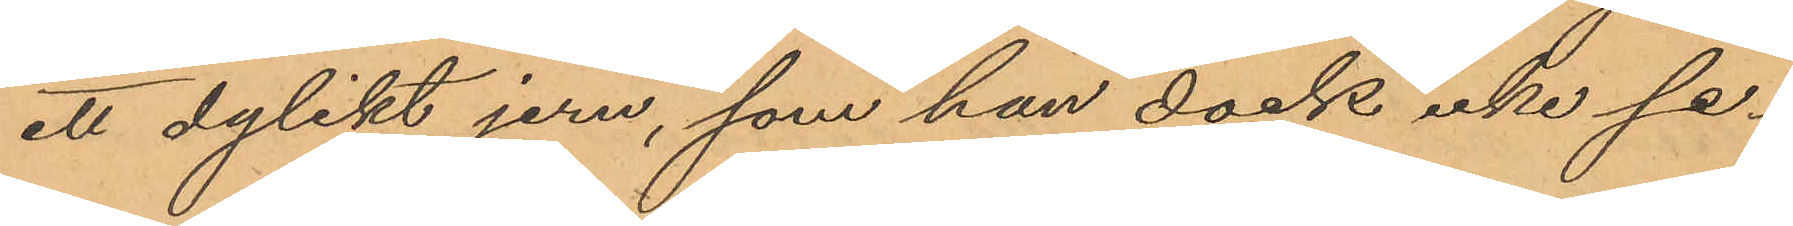ett dylikt jern, som han dock icke se¬
